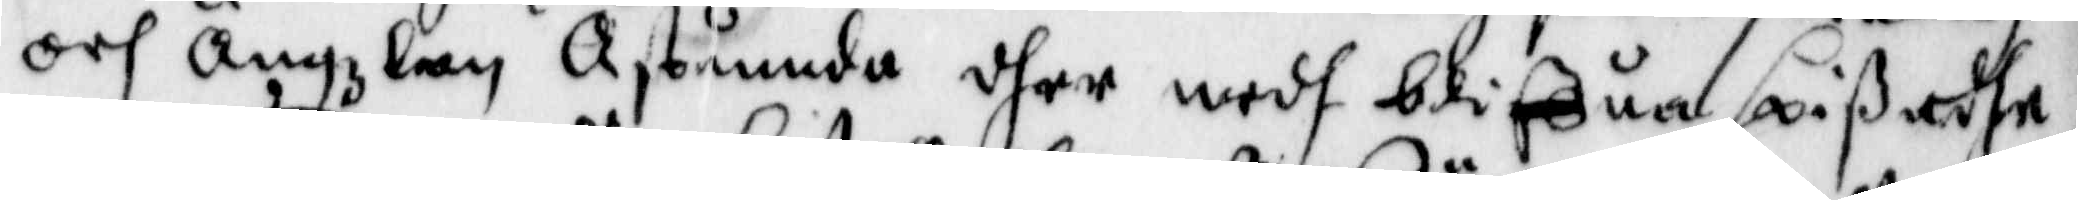och Ängzlan Åstunnda dher medh bliffua spißadhe
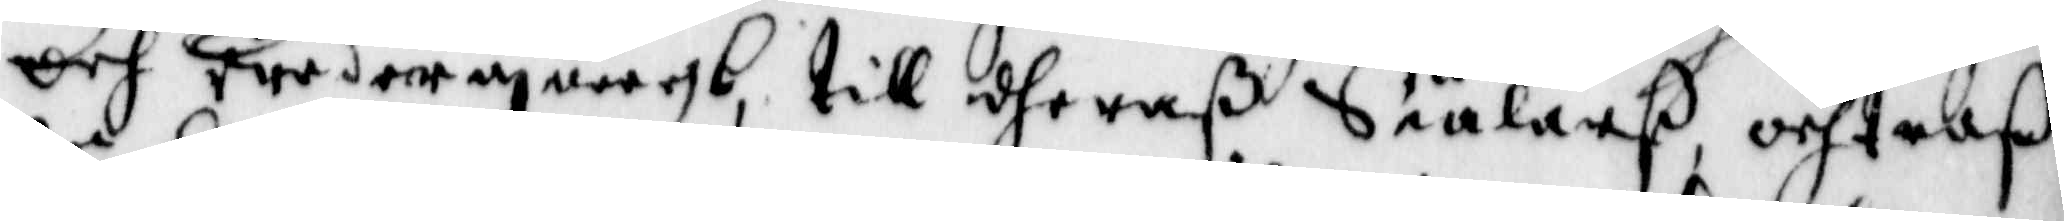och wedergångb, till dheraß Siälarß, och troß
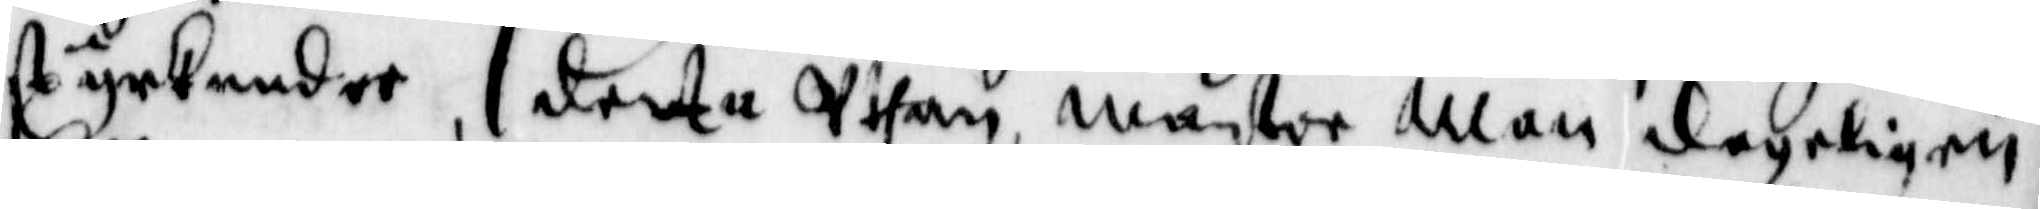styrkandee, detta Uthan, Mäster Man dageligen
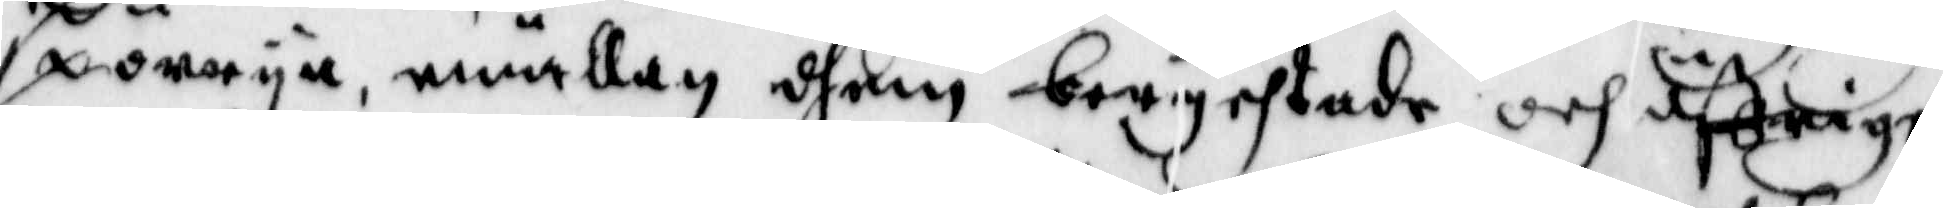spörrija, emällan dhem berychtade och öffrige
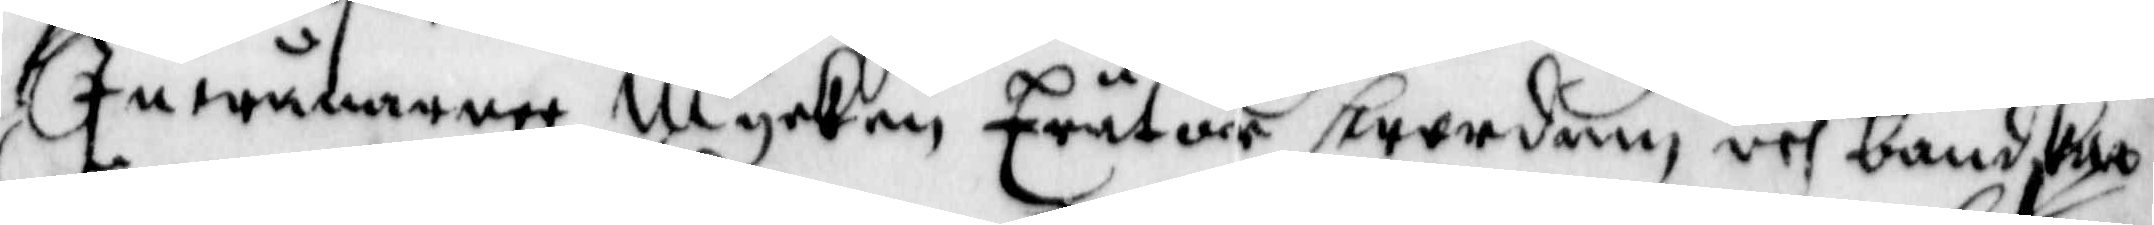Inwånarree, Mycken Trätor swordom, och bondskaa
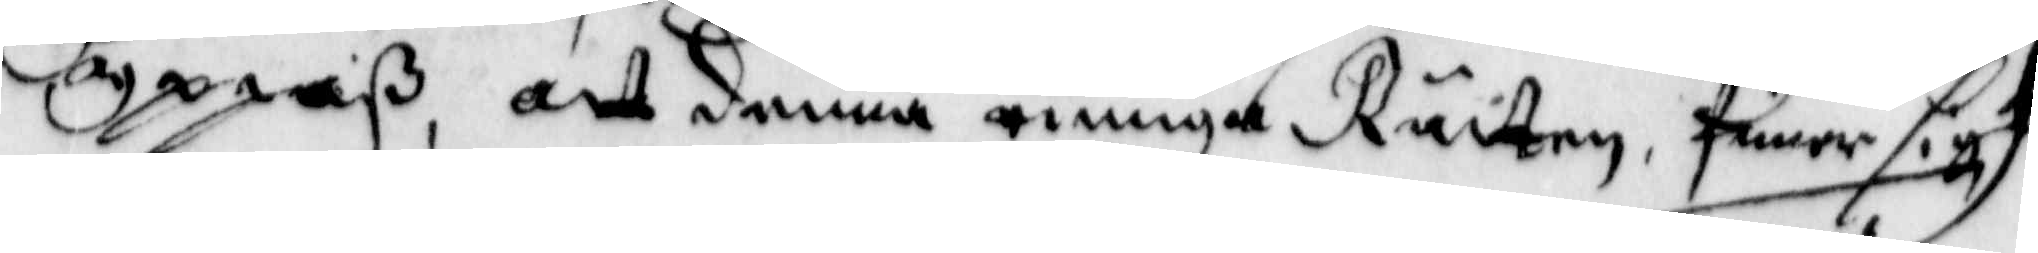yppaß, att denna ringa Rätten, finner sigh
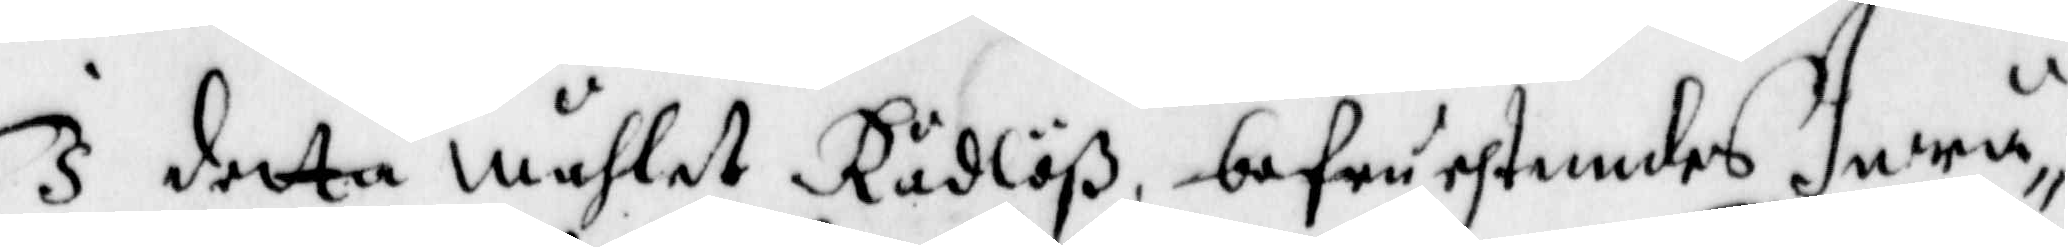I detta Måhlet Rådlöß, befruchtandes Inwå¬
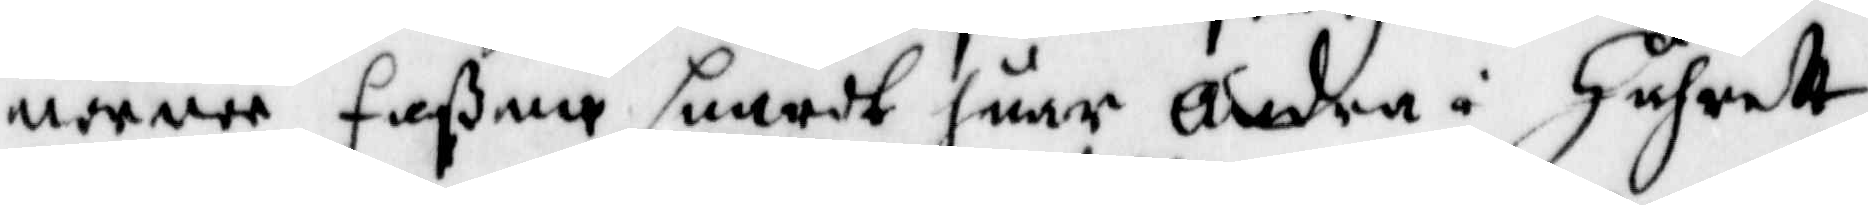nernee faßna snardt huar Andra i Håhret,
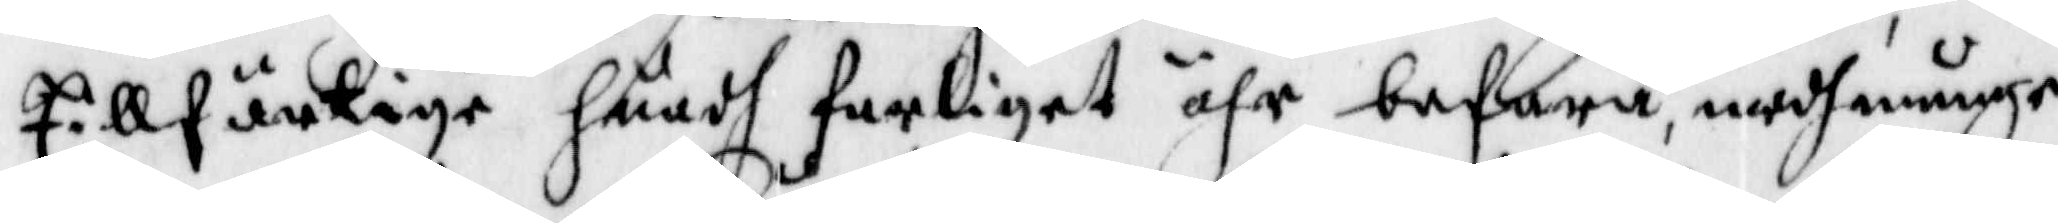Ellfäntige huadh farliget ähr, befara medh månge
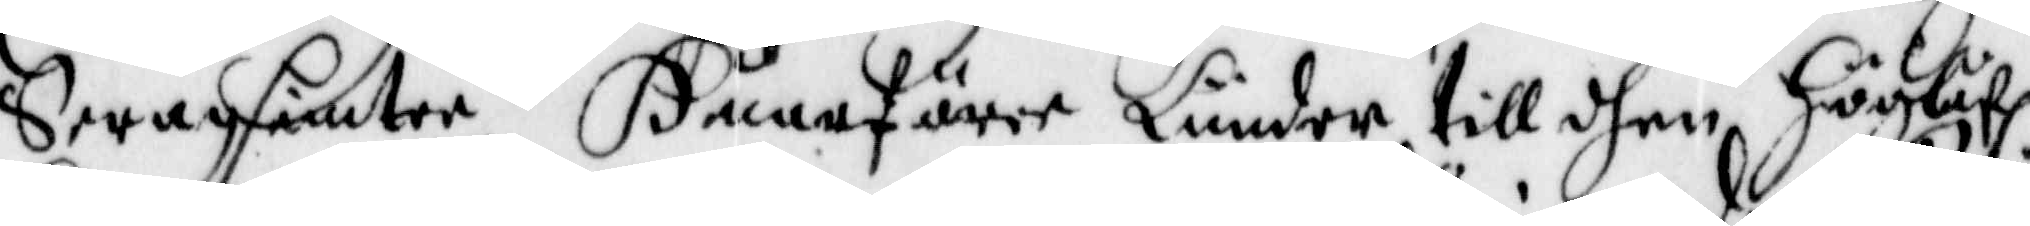Swagsintee, Huarföree Länder till dhen Höglåf.
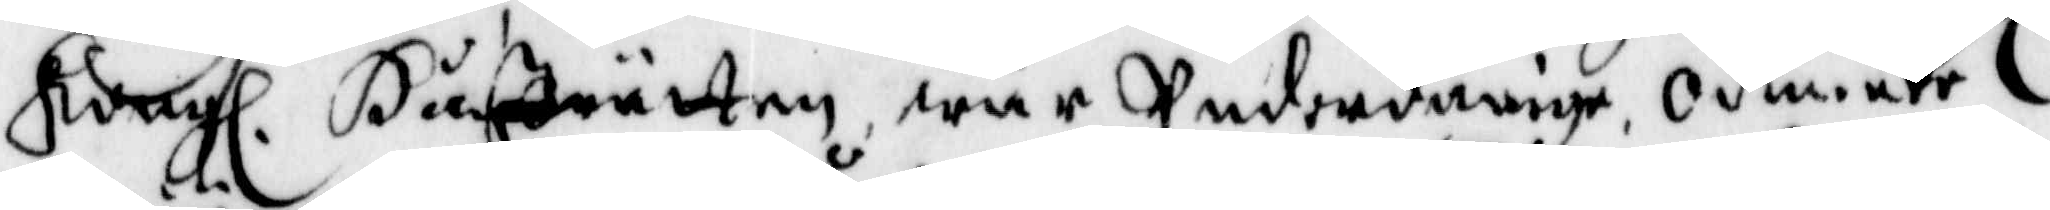Kong. Håffrätten wår Underdånige Odmiuke
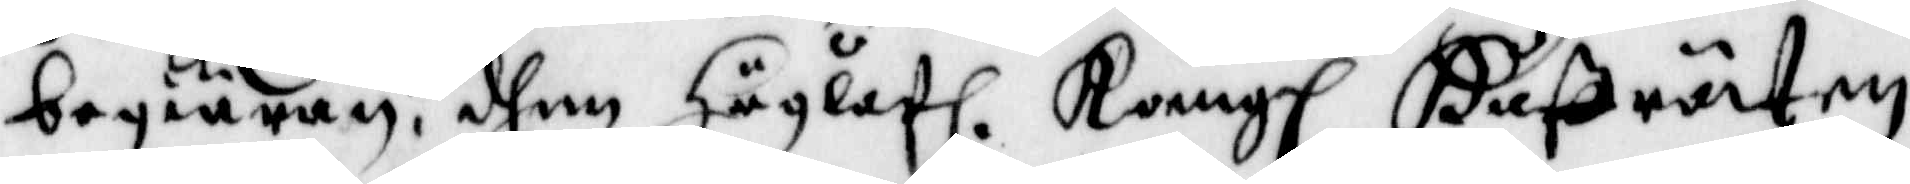begiäran, dhen Höglåf. Kong. Håffräten
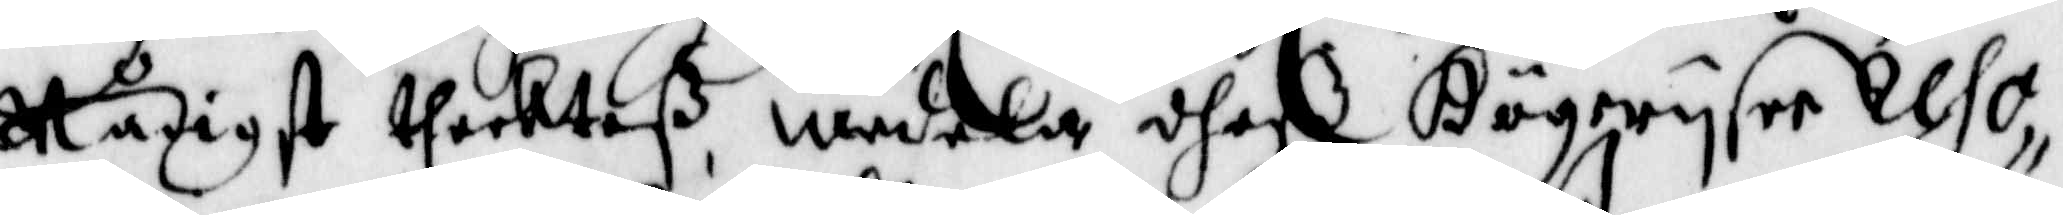Nådigst theckteß, medela dheß Högwijsee Reso¬
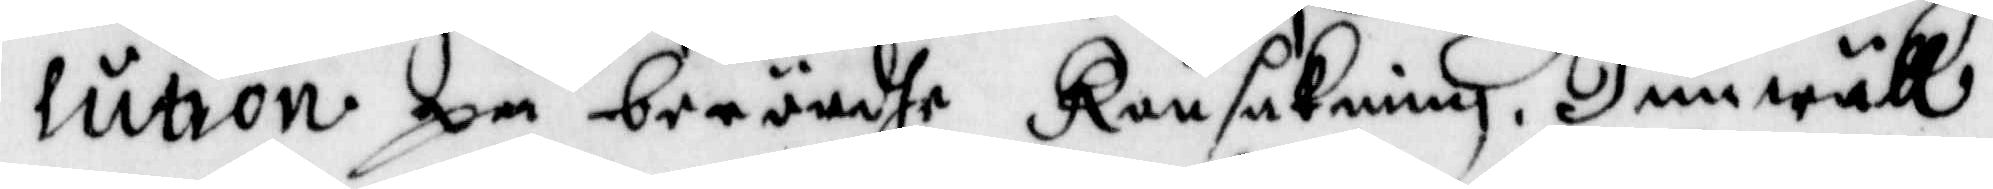lution på berördhe Ransakning. Jemwäll
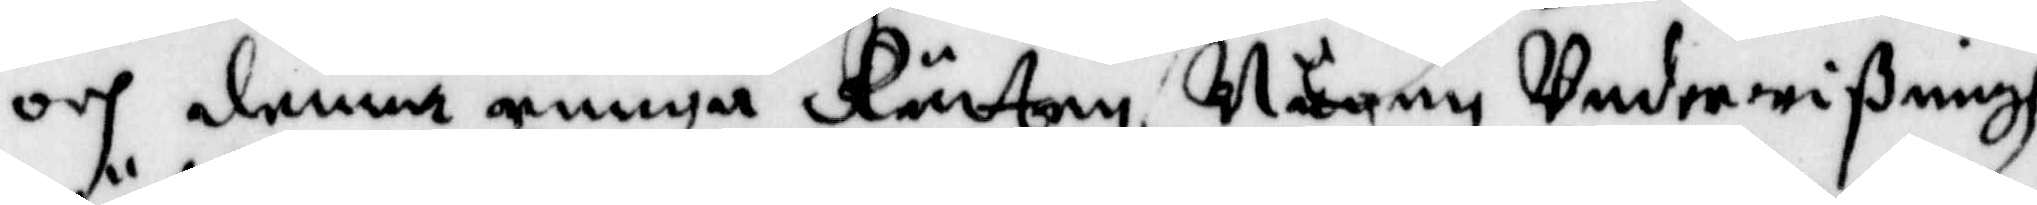och denna ringa Rätten, Någon Underwißningh
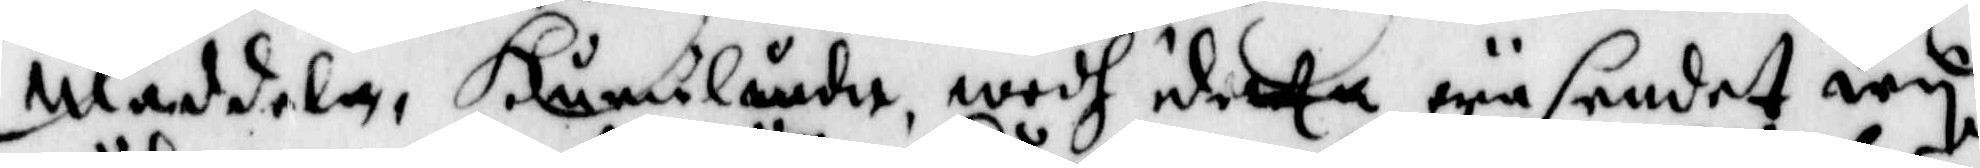Mäddela, Hurulunda, medh dhetta wäsendet wij
